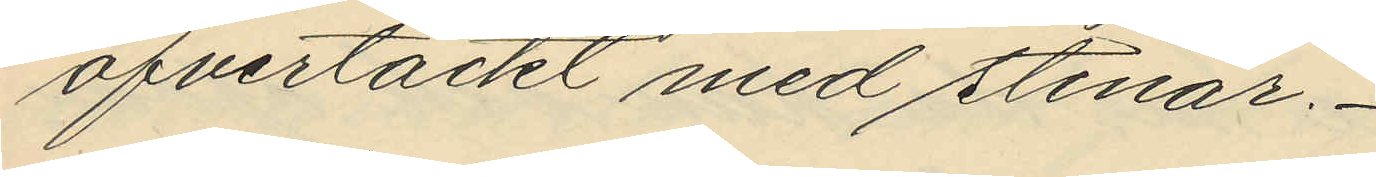öfvertäckt med stenar.
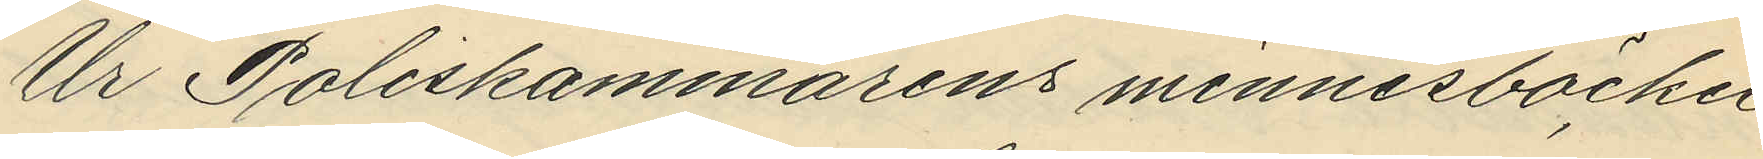Ur Poliskammarens minnesböcker
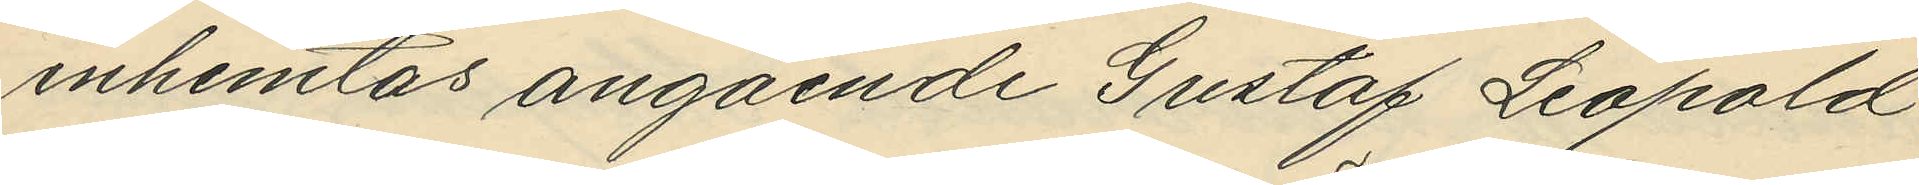inhemtas angående Gustaf Leopold
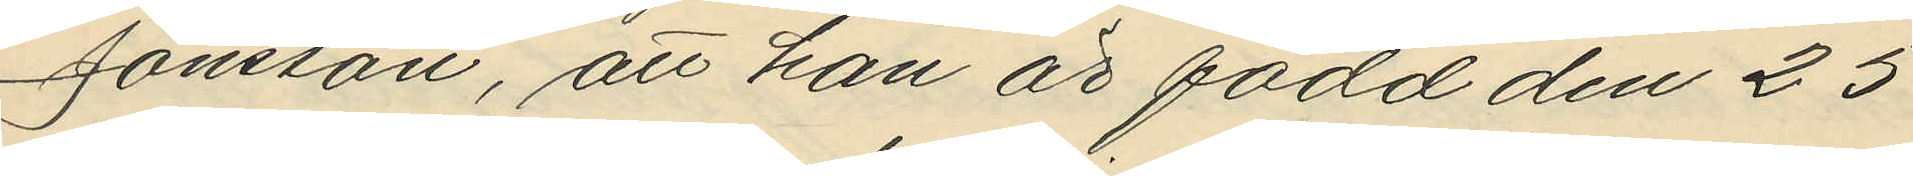Jönsson, att han är född den 25
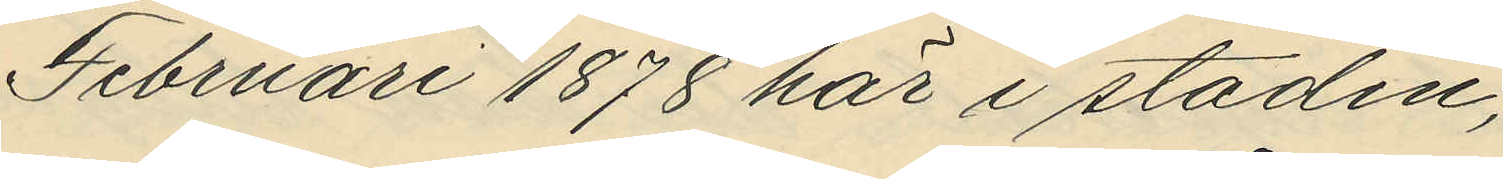Februari 1878 här i staden;
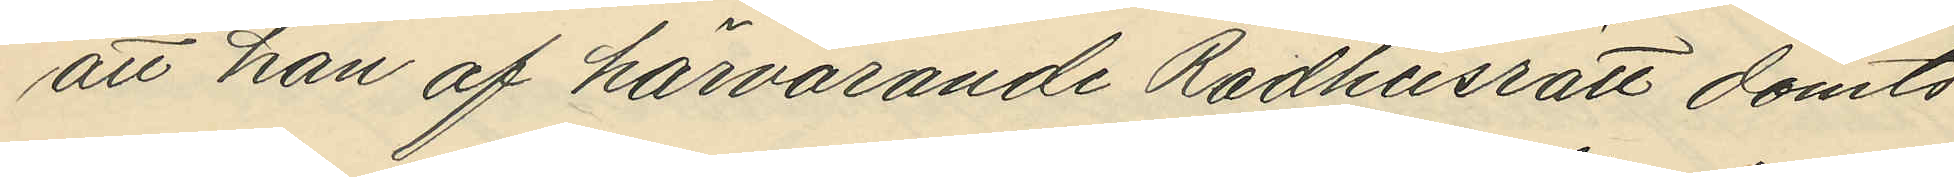att han af härvarande Rådhusrätt dömts
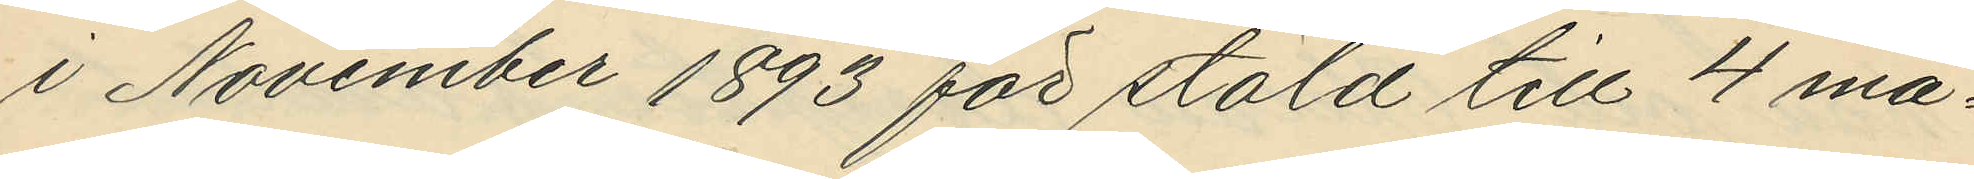i November 1893 för stöld till 4 må¬
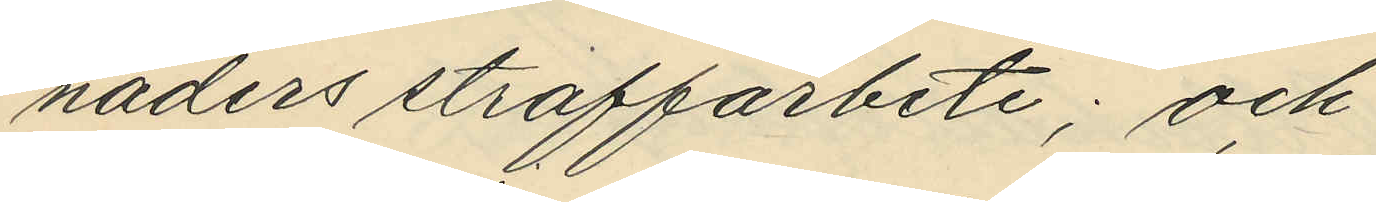naders straffarbete; och
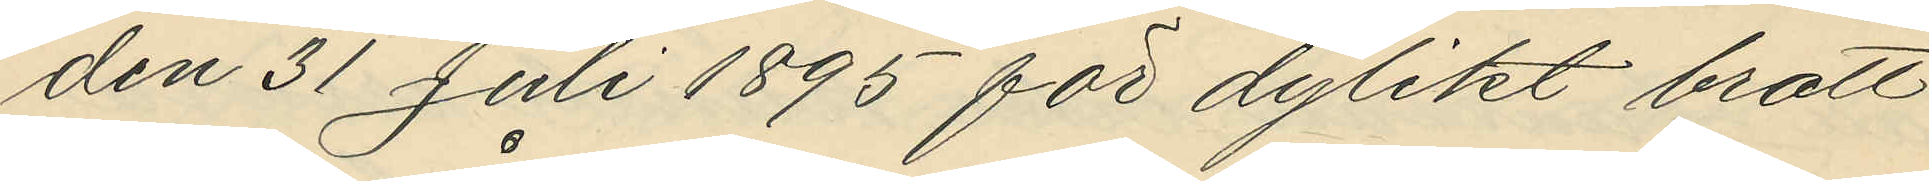den 31 Juli 1895 för dylikt brott
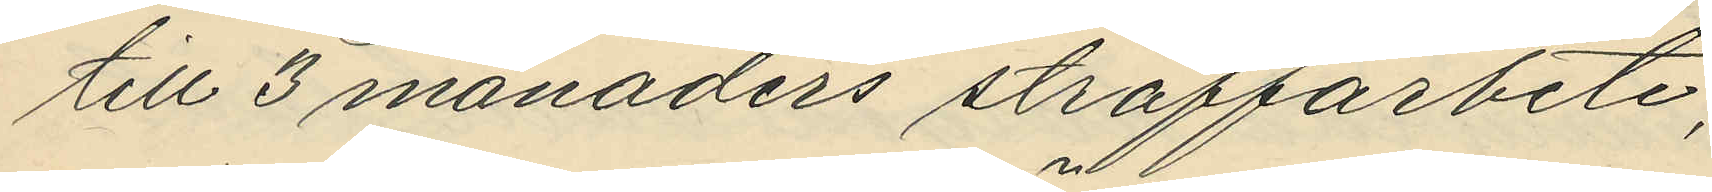till 3 månaders straffarbete;
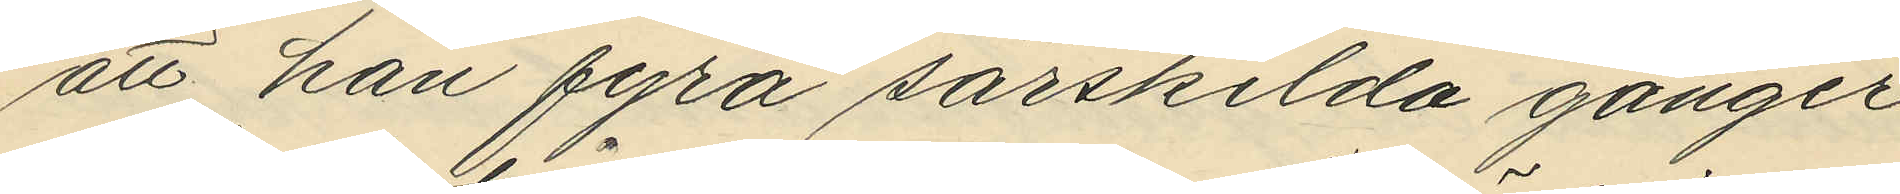att han fyra särskilda gånger
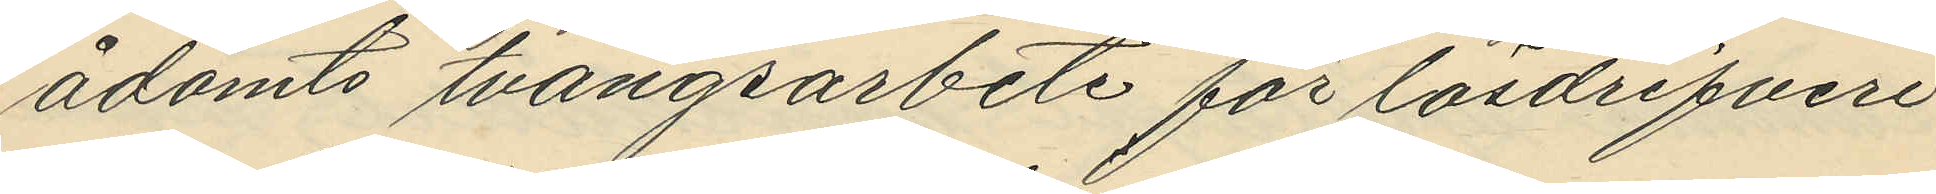ådömts tvångsarbete för lösdrifveri
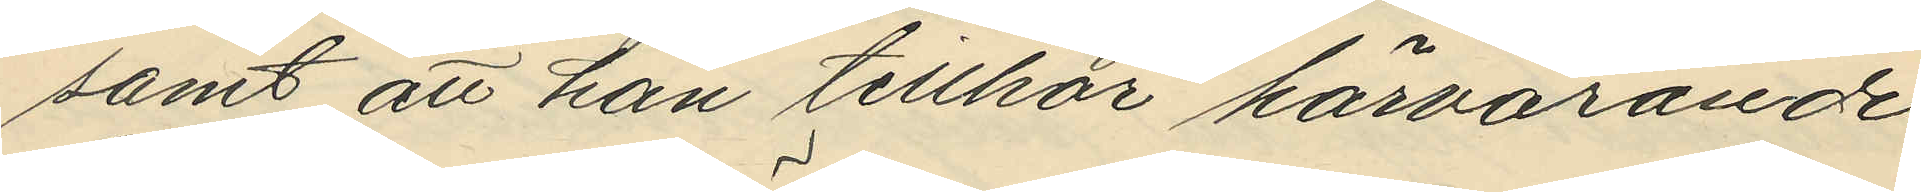samt att han tillhör härvarande
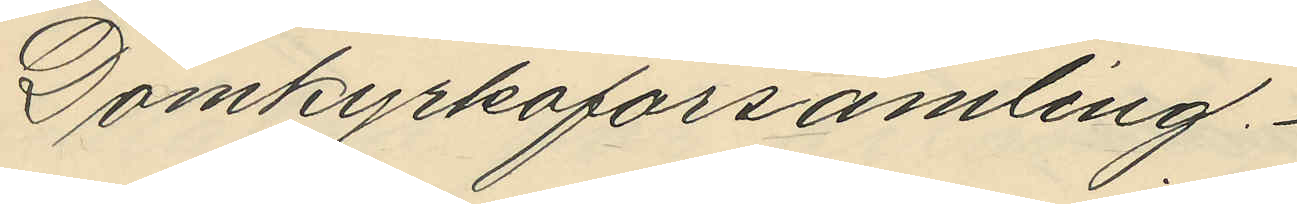Domkyrkoförsamling.
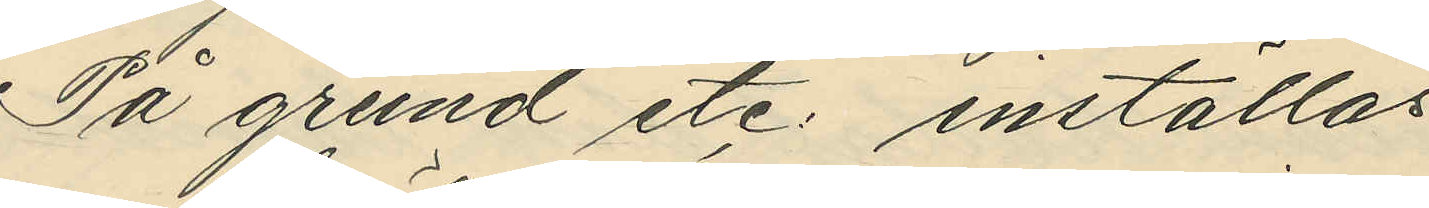På grund etc. inställas.
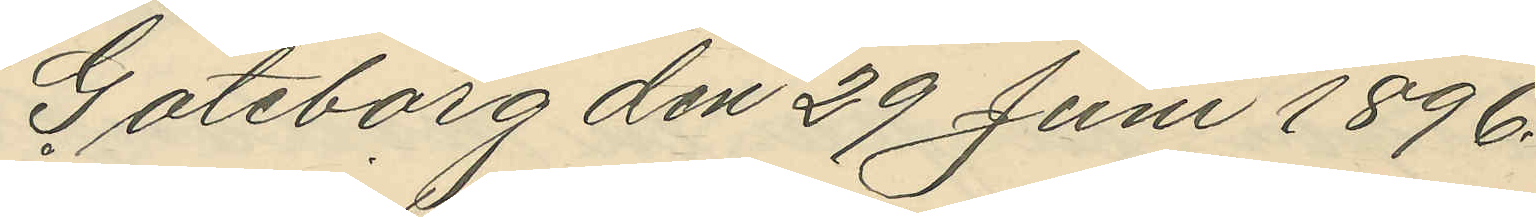Göteborg den 29 Juni 1896.
